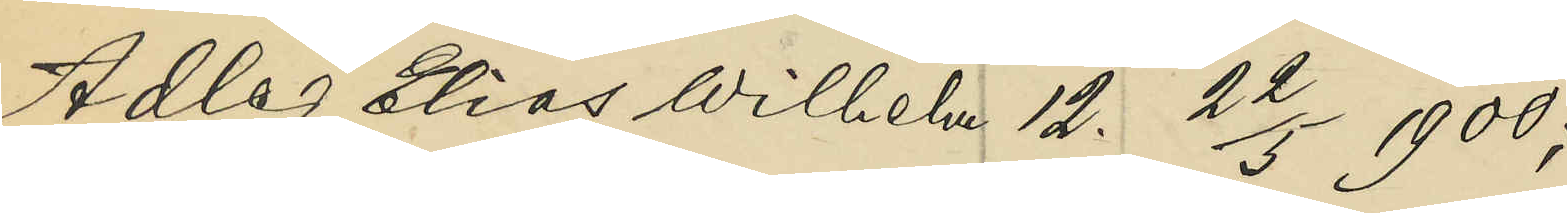Adler Elias Wilhelm 12. 22/5 1900;
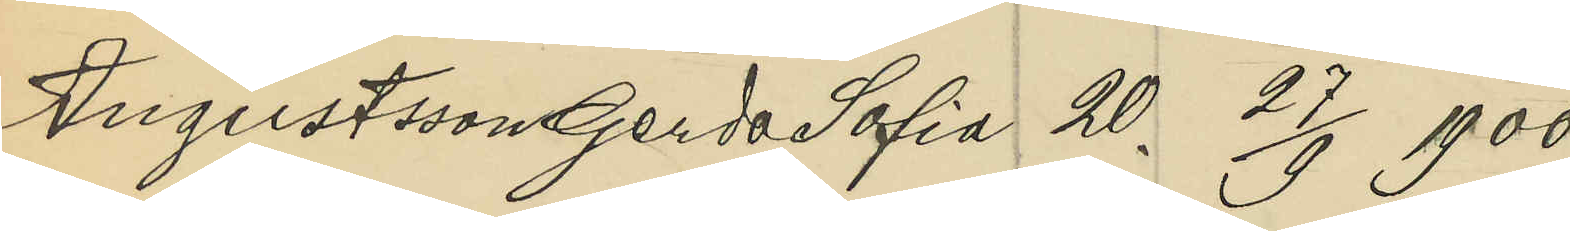Augustsson Gerds Sofia 20. 27/9 1900;
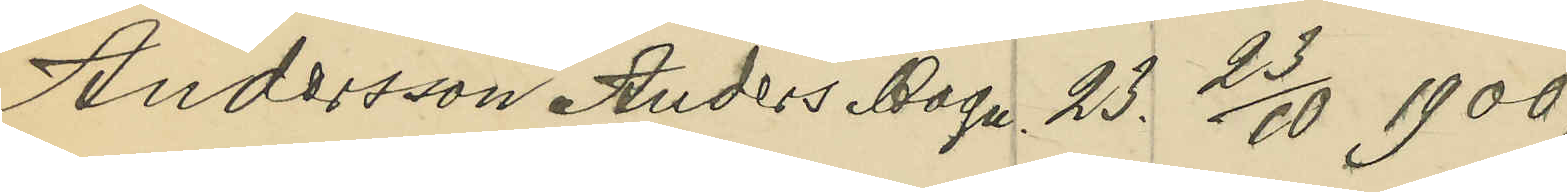Andersson Anders Magn. 23. 23/10 1900;
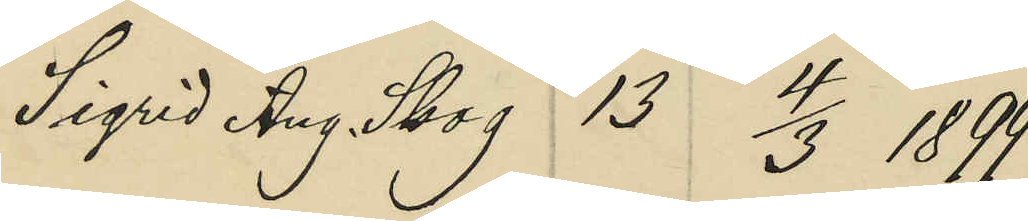Sigrid Aug. Skog 13 4/3 1899;
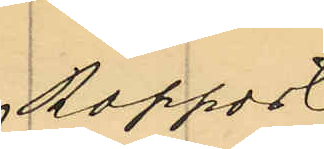Rapport
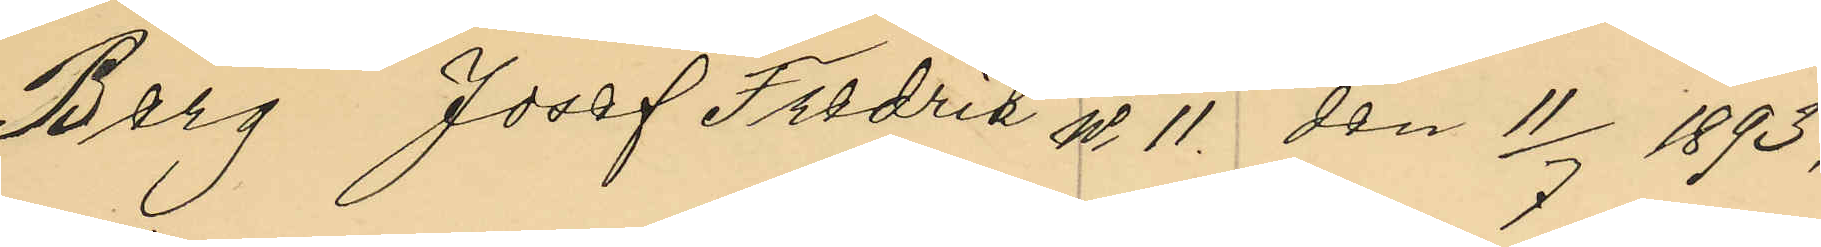Berg Josef Fredrik No 11. den 11/7 1893;
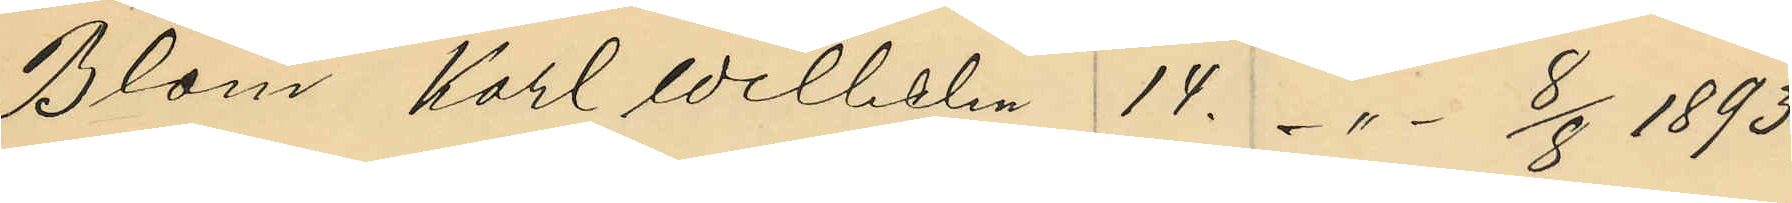Blom Karl Wilhelen 14. -"- 8/8 1893;
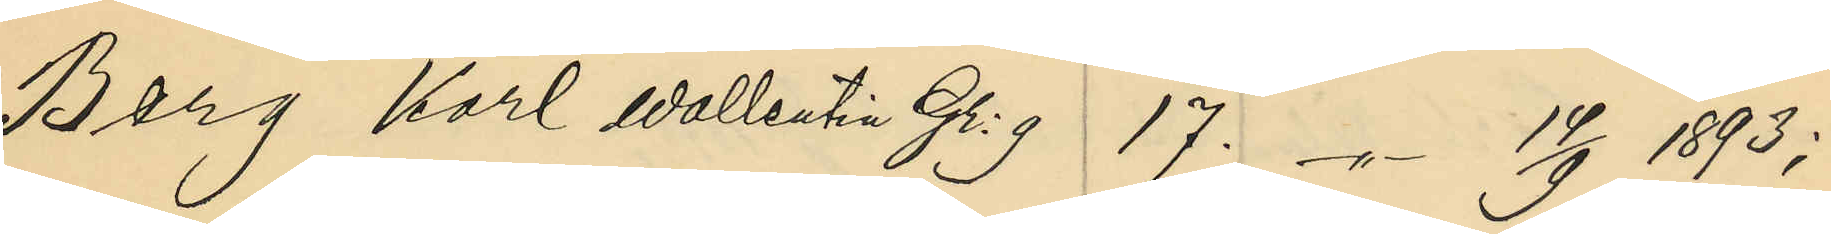Berg Karl Wallentin Gr:g 17. -"- 14/9 1893;
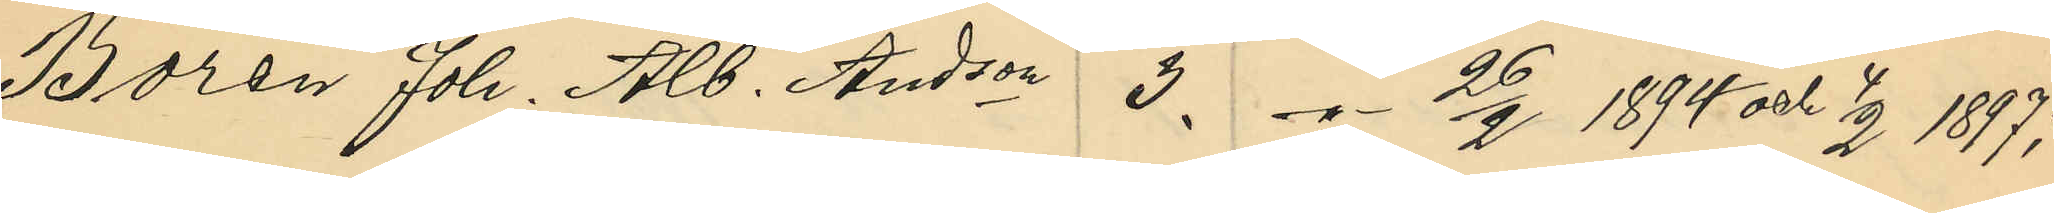Borén Joh. Alb. Andson 3. -"- 26/2 1894 och 4/2 1897;
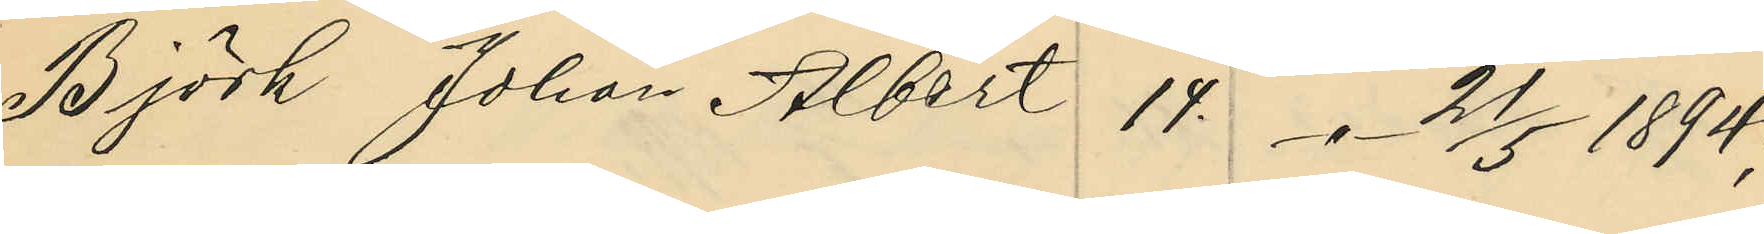Björk Johan Albert 14. -"- 21/5 1894;
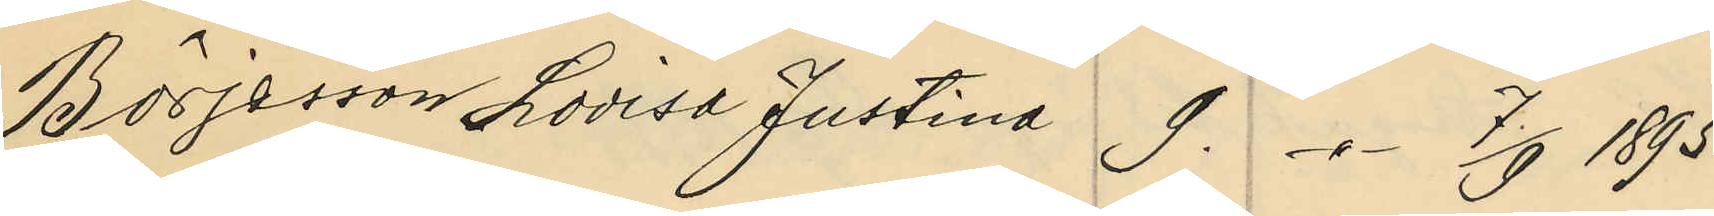Börjesson Lovisa Justina 9. -"- 7/9 1895;
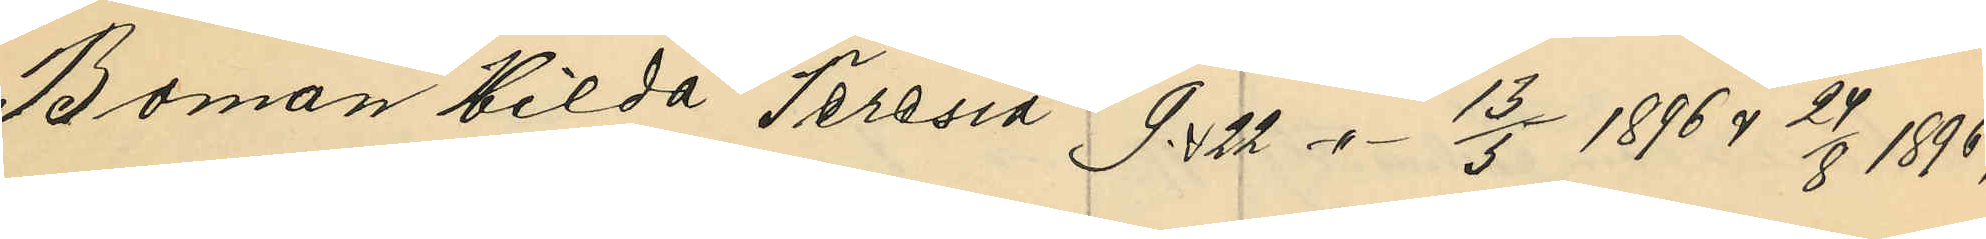Boman Hilda Teresia 9 & 22 -"- 13/5 1896 & 24/8 1896;
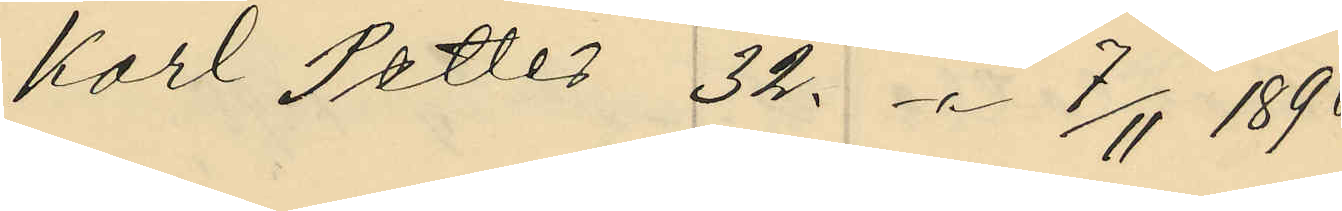Karl Petter 32. -"- 7/11 1896;
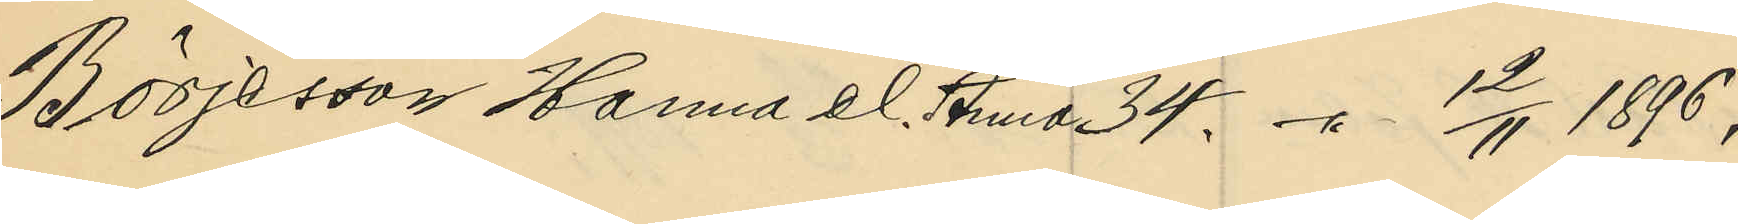Börjesson Hanna el. Anna 34. -"- 13/11 1896;
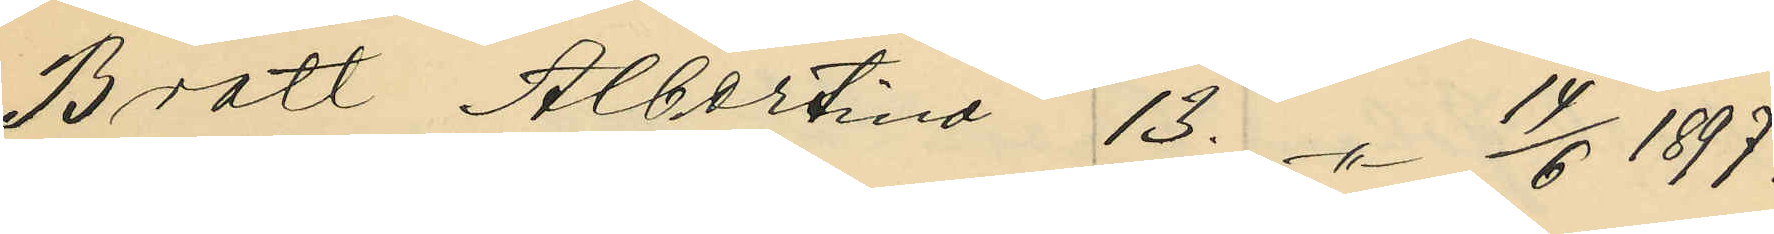Bratt Albertina 13. -"- 14/6 1897;
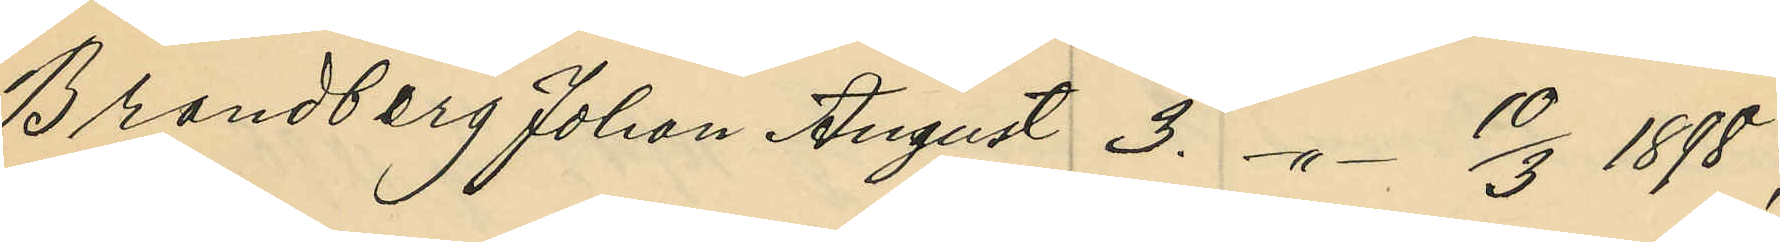Brandberg Johan August 3. -"- 10/3 1898;
